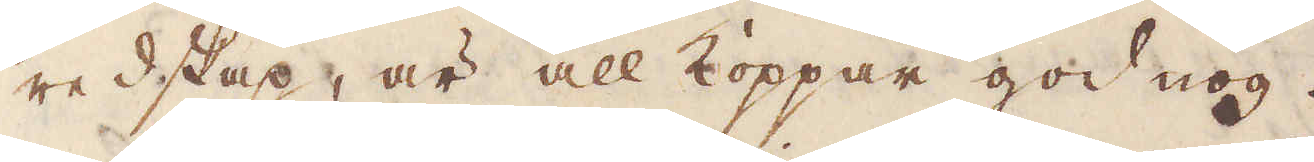redskap, är all Koppar god nog.
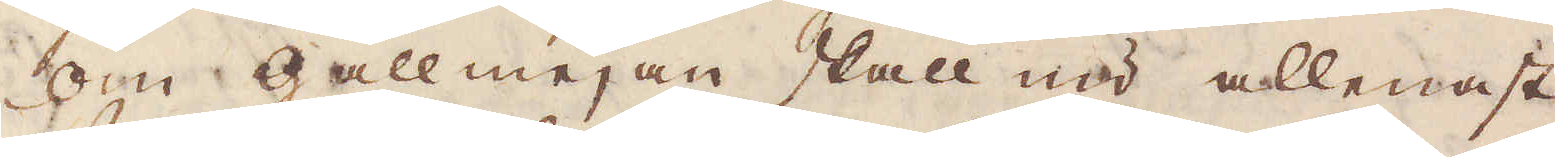Om gallmejan skall nu allenast
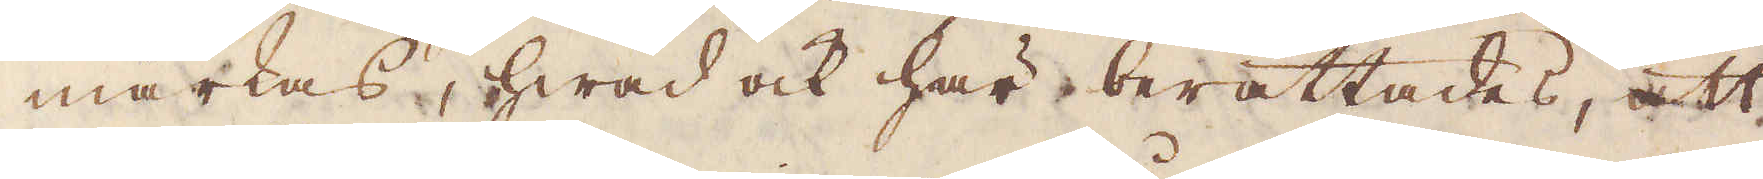märkas, hwad ock här berättades, att
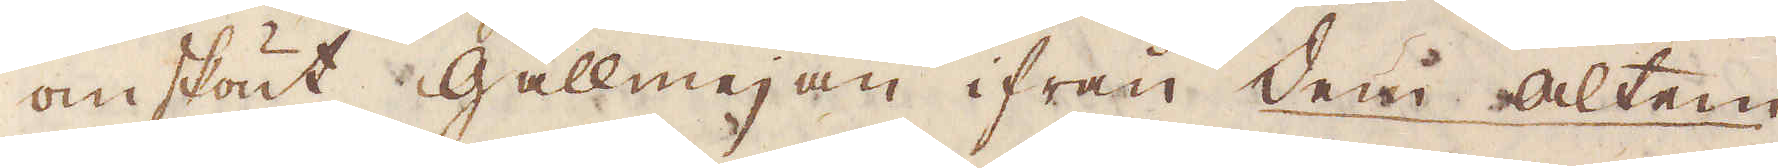omskönt gallmejan ifrån dem Alten
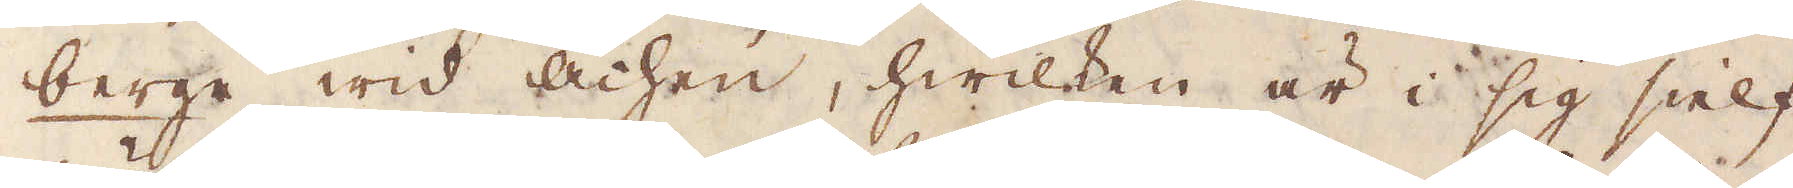berge wid Achen, hwilken är i sig sielf
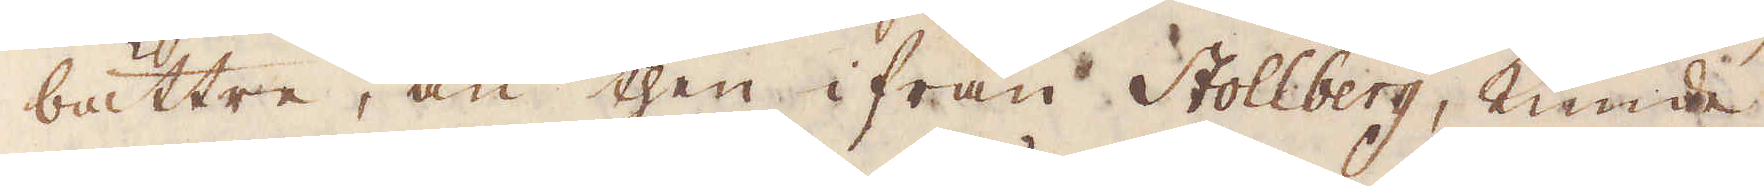bättre, än then ifrån Stollberg, kunde
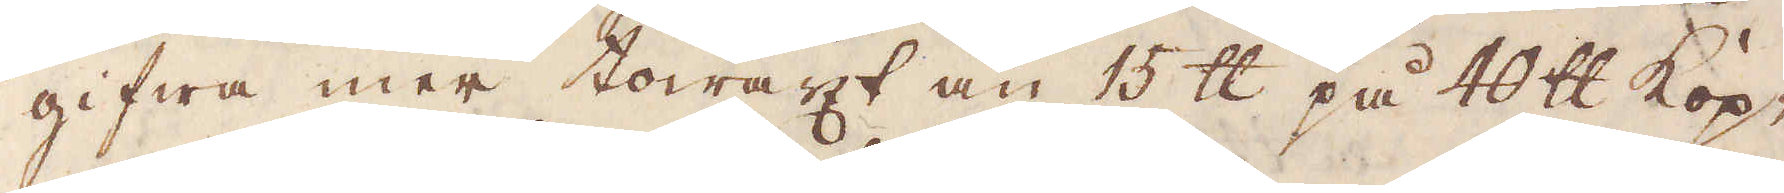gifwa mer towäxt än 15 skålpund på 40 skålpund Kop-
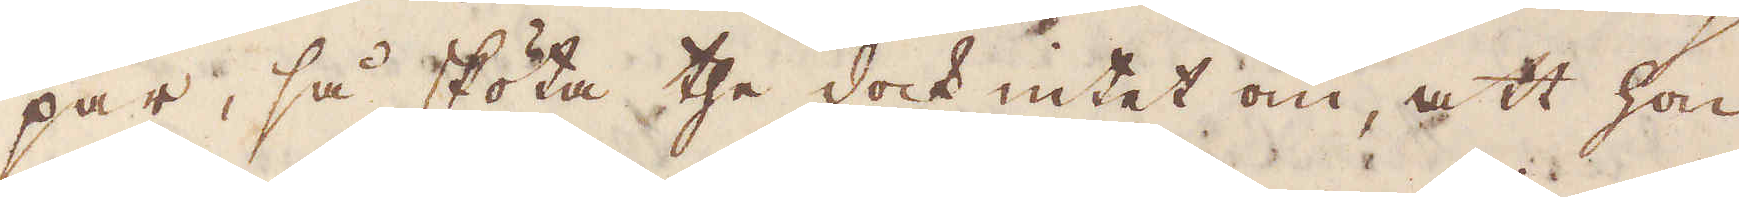par, så sköta the dock intet om, att hon
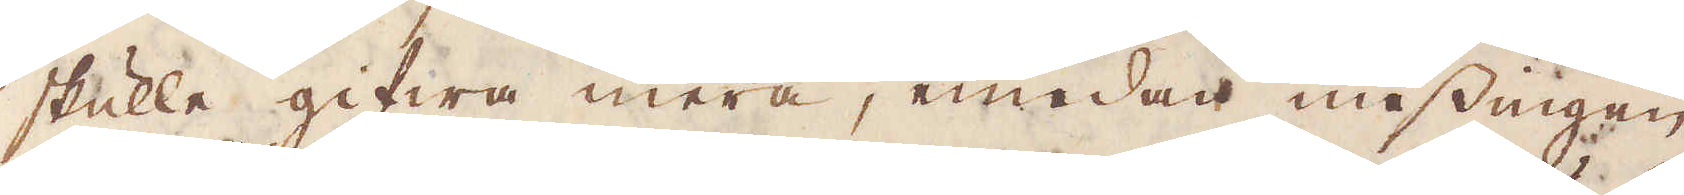skulle gifwa mera, emedan messingen
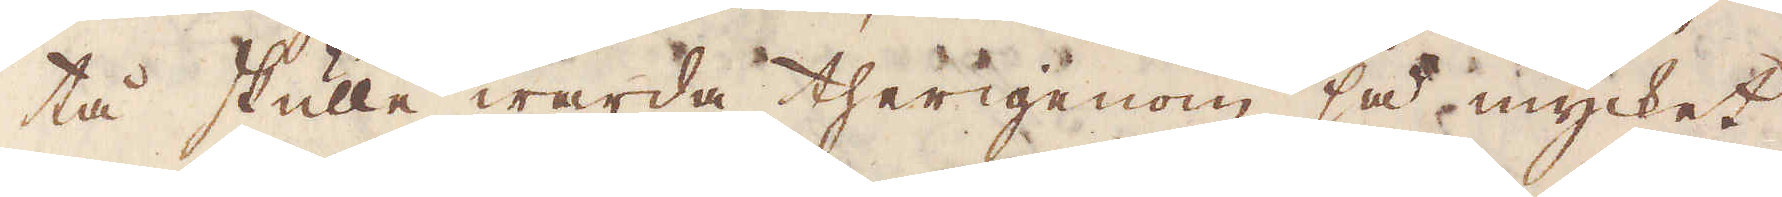tå skulle warda therigenom så mycket
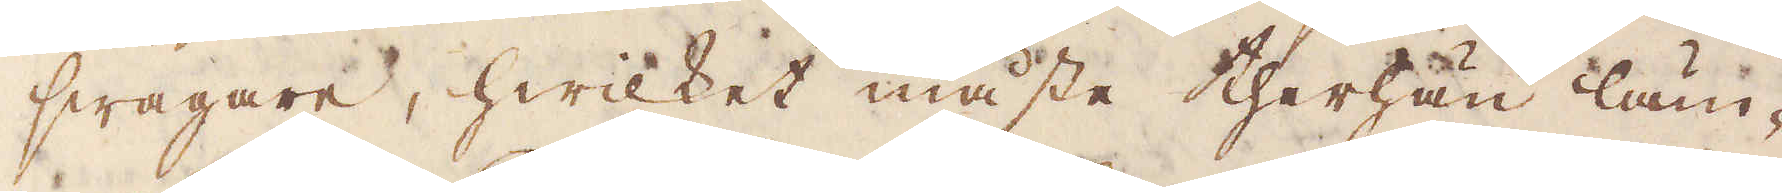swagare, hwilket måste therhän läm-
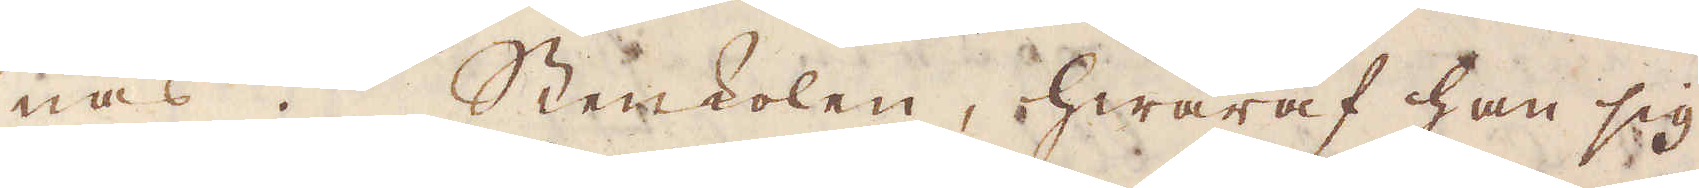nas. Stenkolen, hwaraf han sig
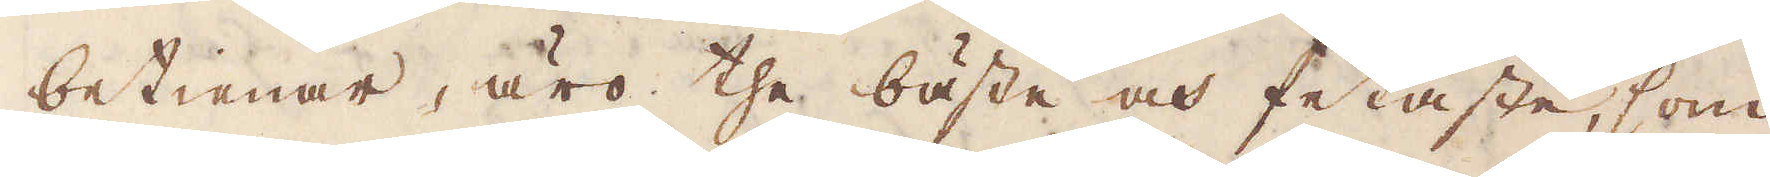betienar, äro the bäste och fetaste, som
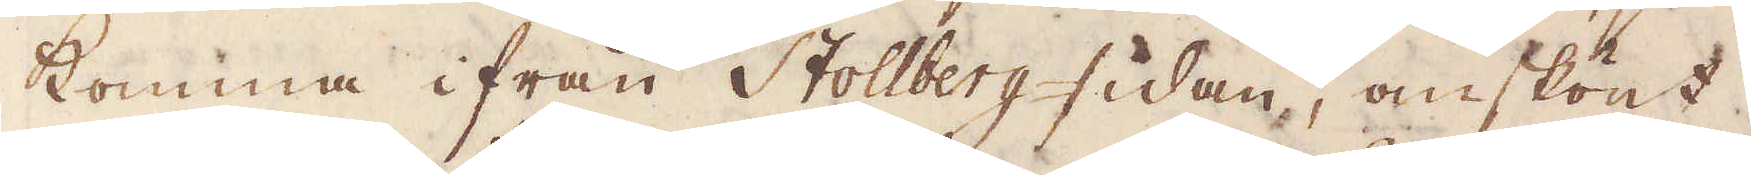komma ifrån Stollberg-sidan, omskönt
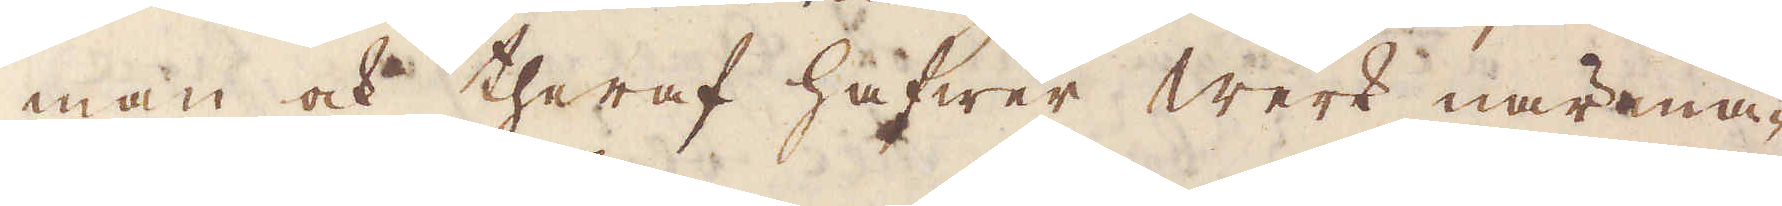man ock theraf hafwer Werk närma-
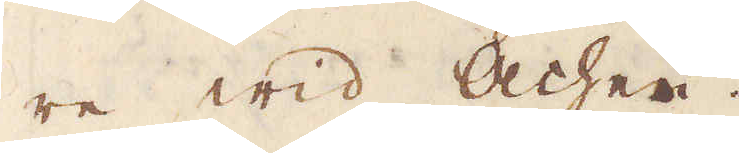re wid Achen.
